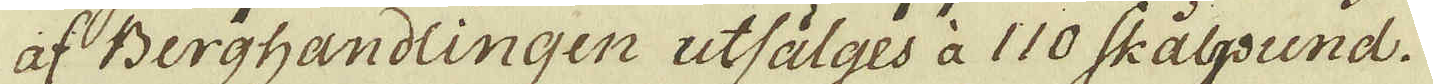af Berghandlingen utsälges à 110 Skålpund.
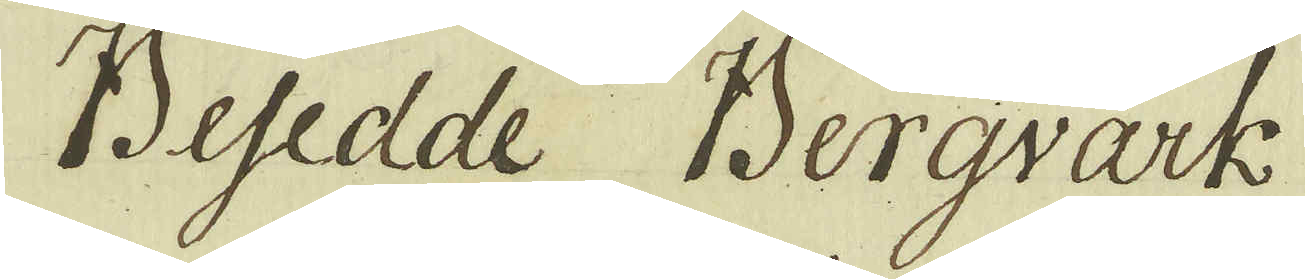Besedde Bergvärk
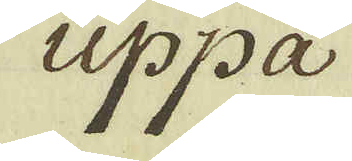uppå
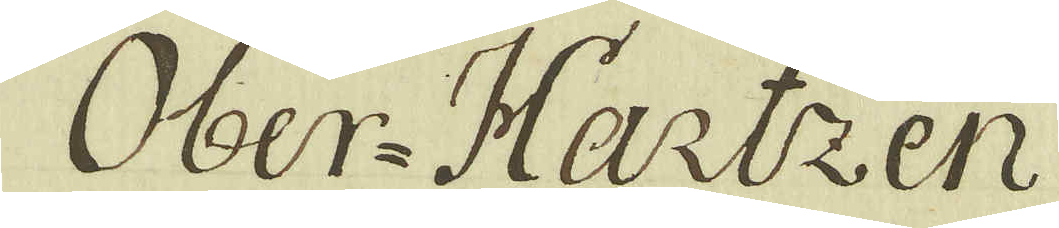Ober-Hartzen
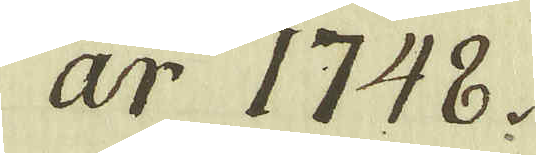år 1748.
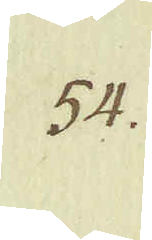54.
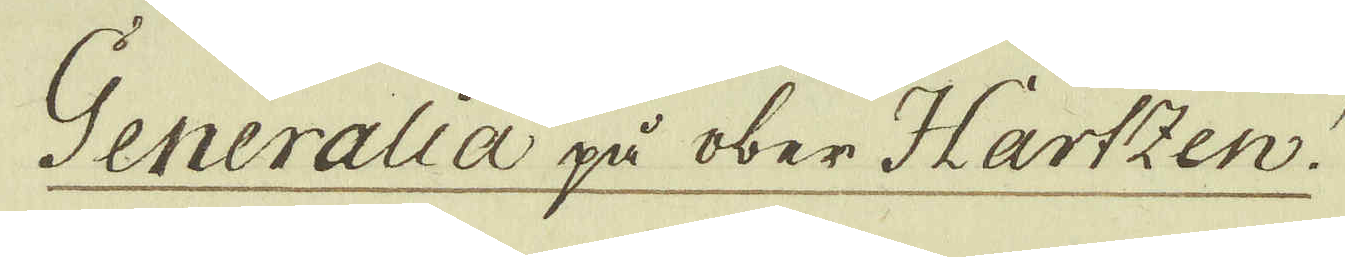Generalia på ober Hartzen.
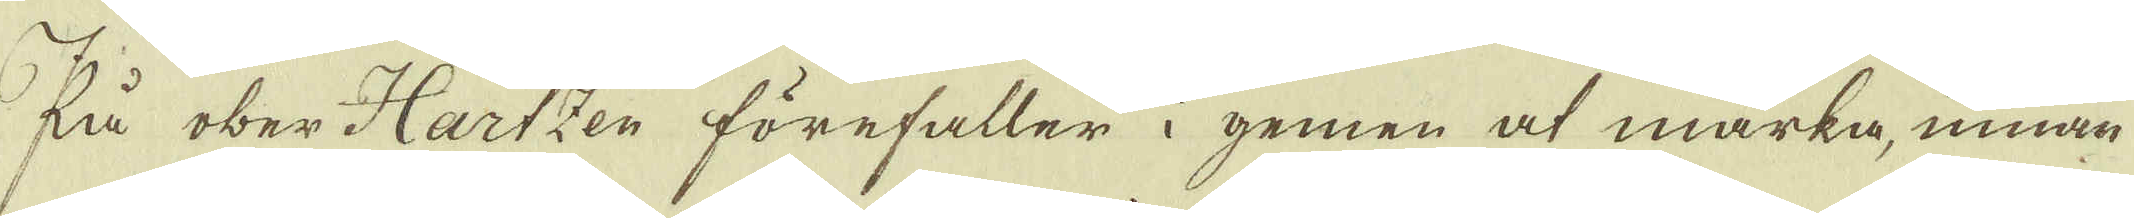På ober Hartzen förefaller i gemen at märka, innan
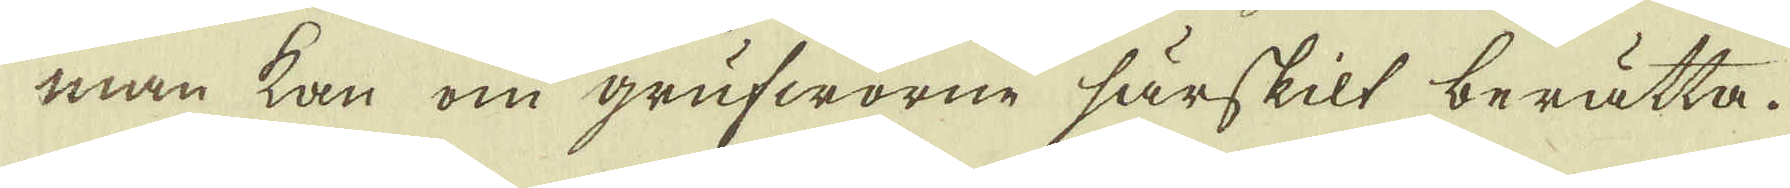man kan om grufworne särskilt berätta.
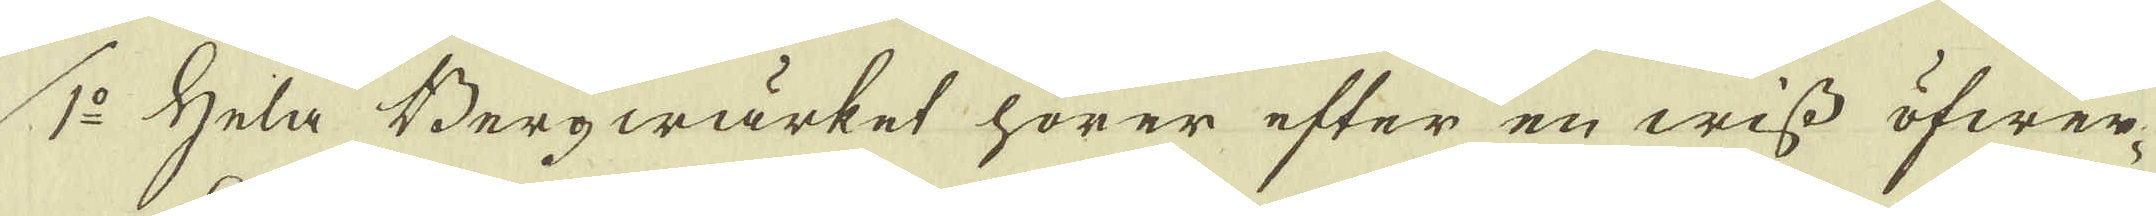1:o Hela Bergwärket hörer efter en wiss öfwer-
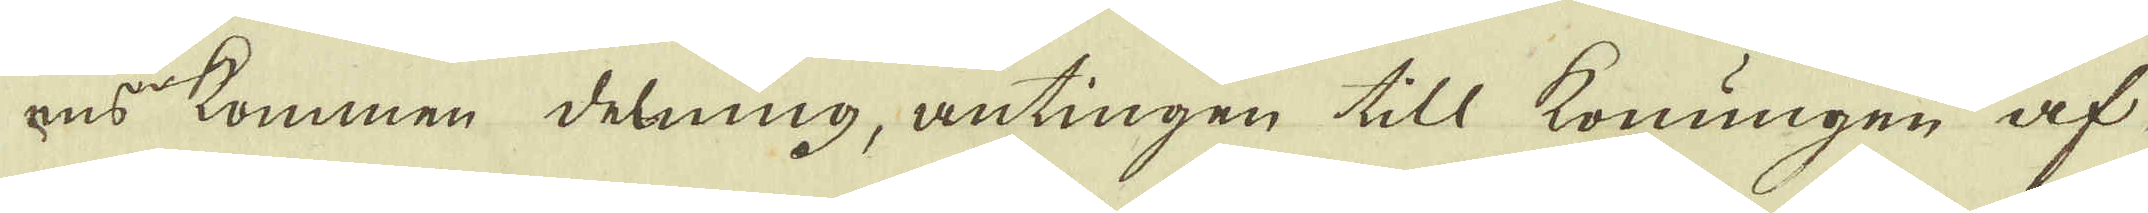ens kommen delning, antingen till konungen af
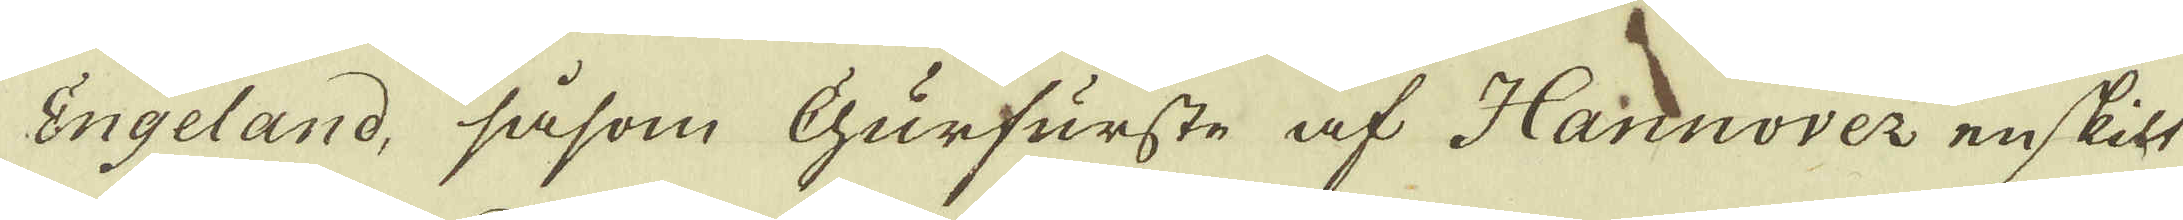Engeland, såsom Kurfurste af Hannover enskilt
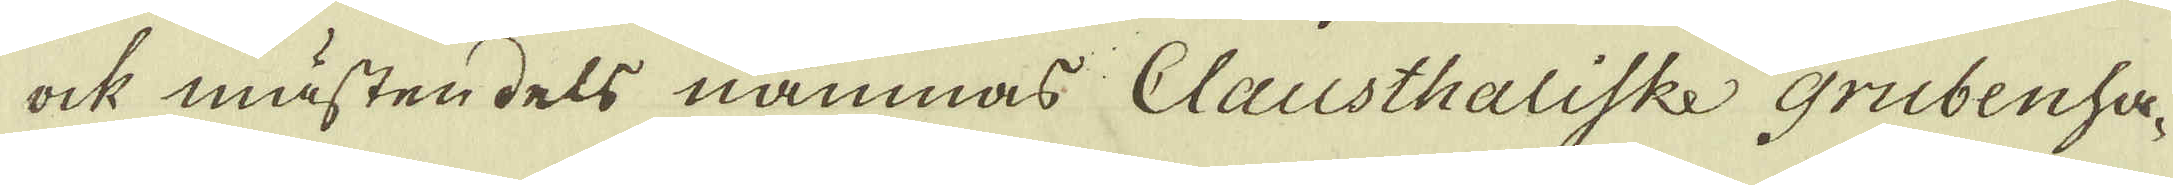ock mästen dels nämnas Clausthaliske Grubenha-
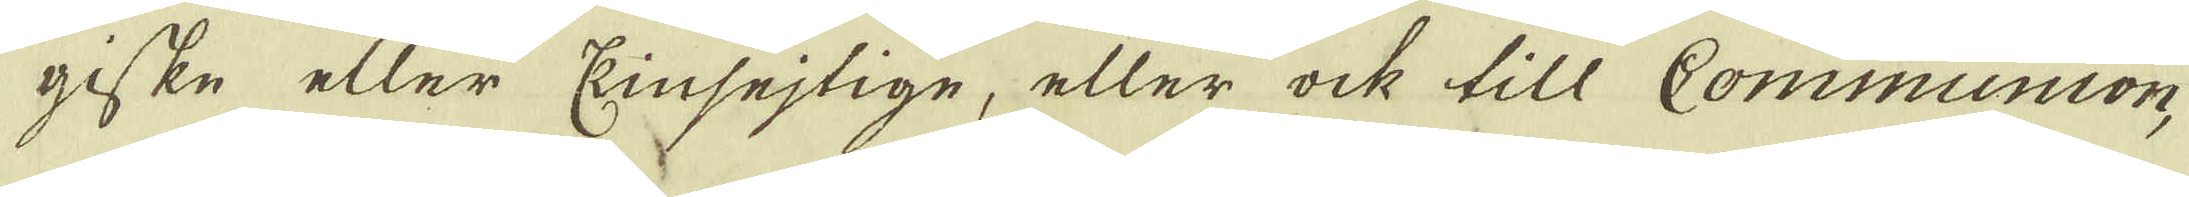giske eller Kinsejtige, eller ock till Communion,
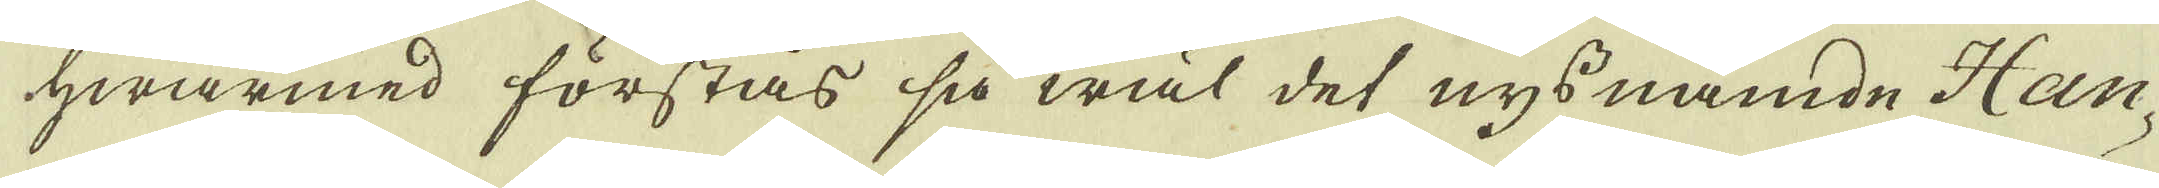hwarmed förstås så wäl det nys nämde Han-
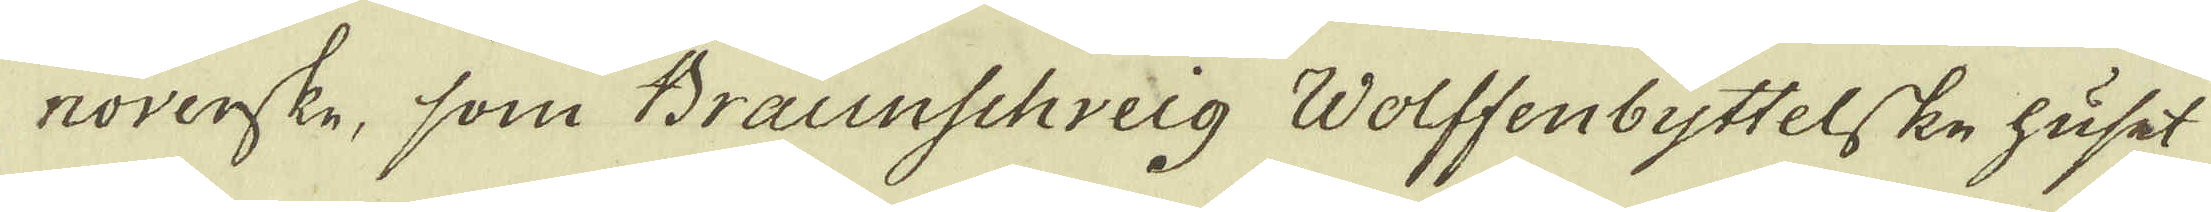noverske, som Braunschveig Wolffenbyttelske huset
